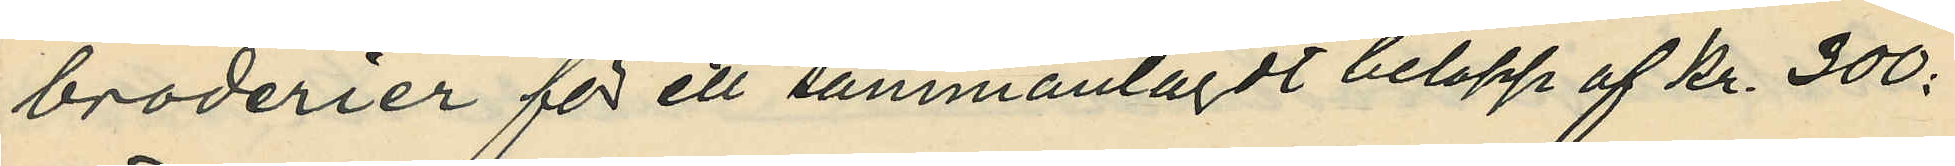broderier för ett sammanlagdt belopp af Kr. 300:
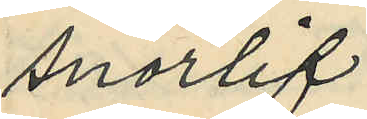snörlif
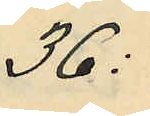36:
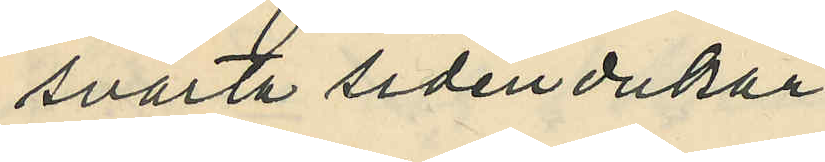svarta sidendukar
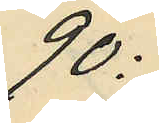90:
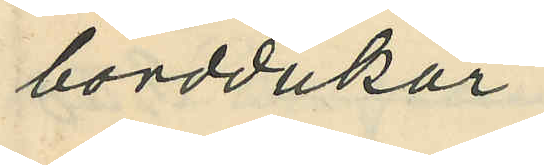borddukar
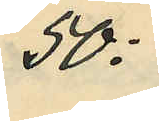50:
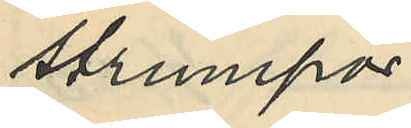strumpor
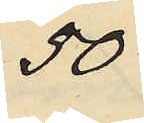50
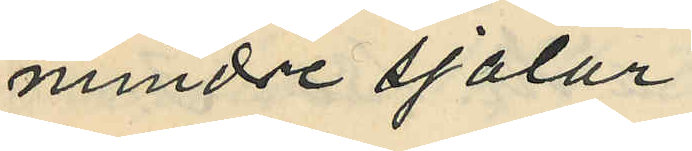mindre sjalar
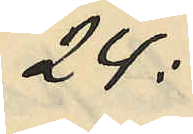24:
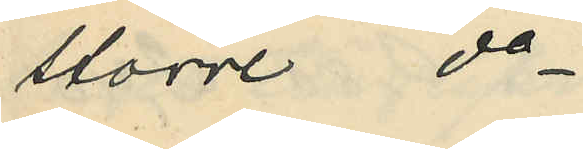större do
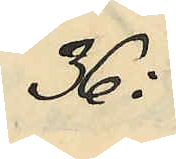36:
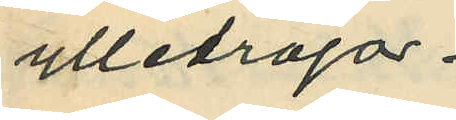ylletröja
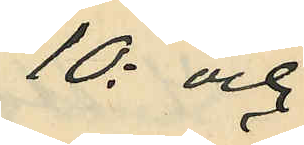10: och
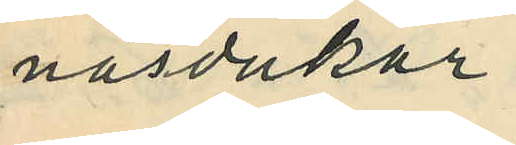näsdukar
